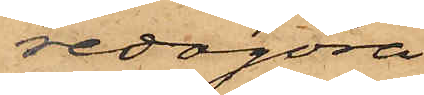redogöra
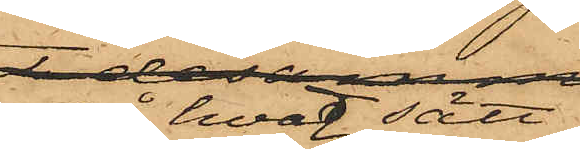på hvad sätt
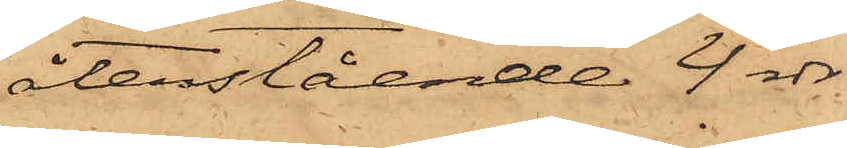återstående 4 rdr.
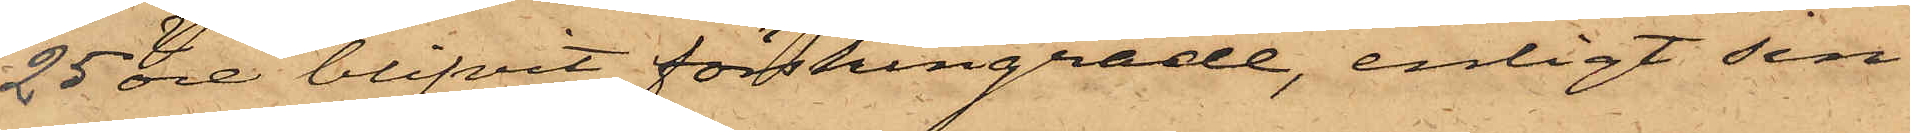25 öre blifvit förskingrade, enligt sin
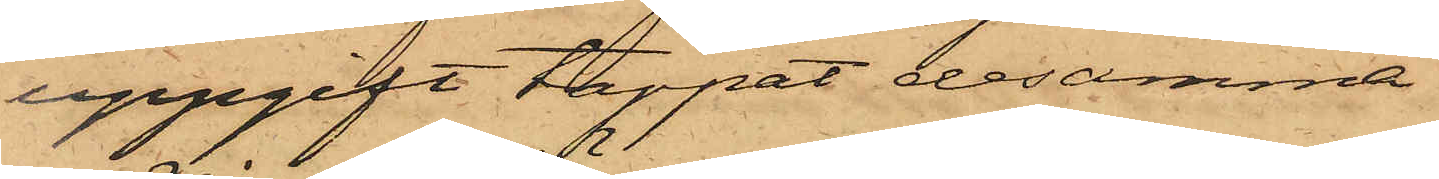uppgift tappat desamma.
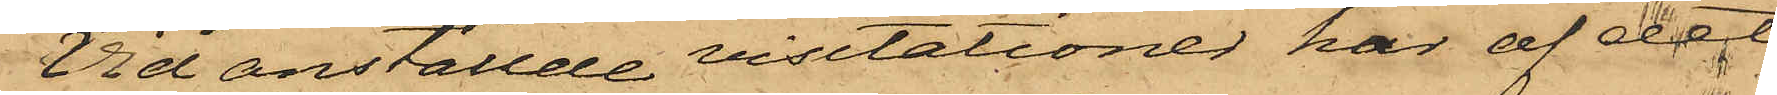Vid anställde visitationer har af det
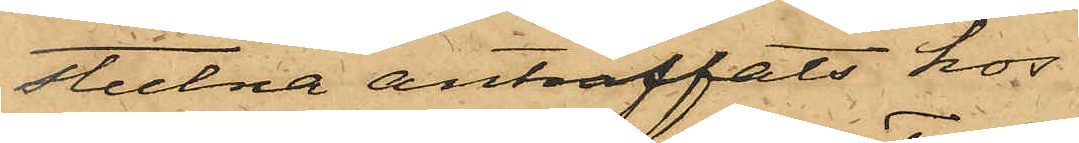stulna anträffats hos
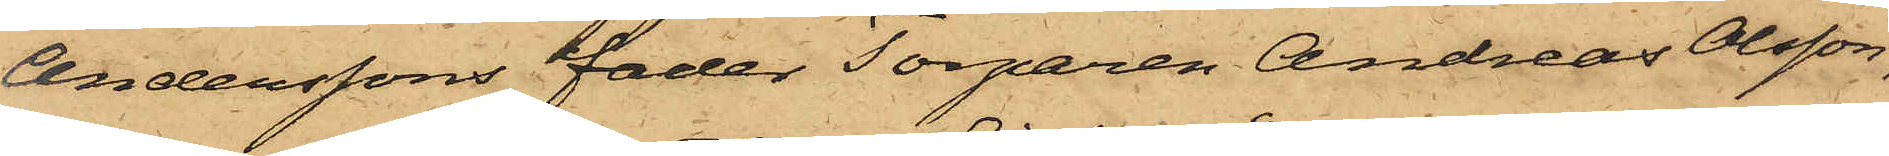Anderssons fader Torparen Andreas Olsson,
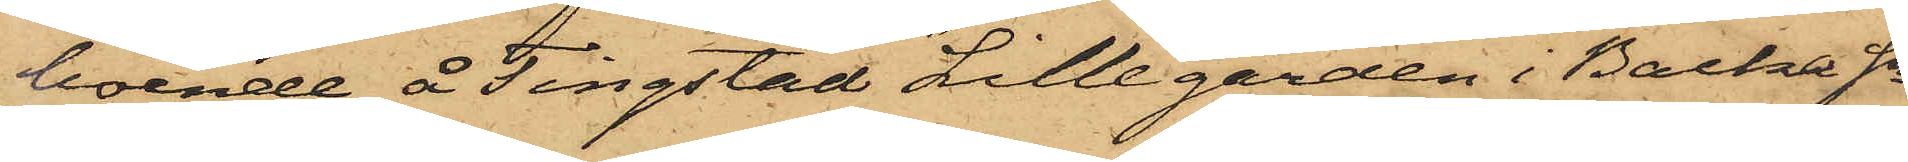boende å Tingstad Lillegården i Backa Sn
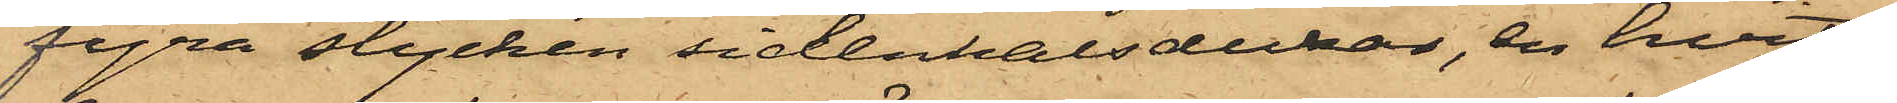fyra stycken sidenhalsdukar, en hvit
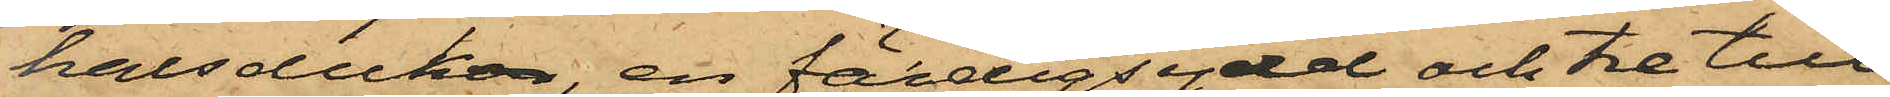halsduken, en färdigsydd och tre till¬
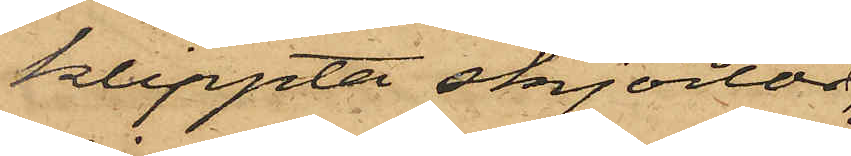klippta skjortor,
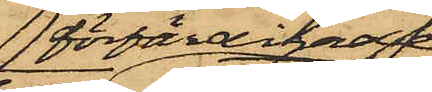förfärdigade
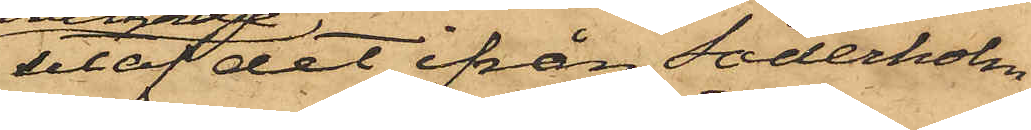utaf det ifrån Söderholm
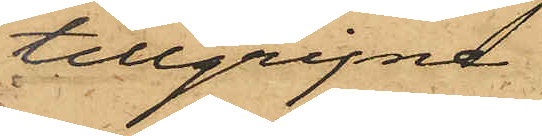tillgripne
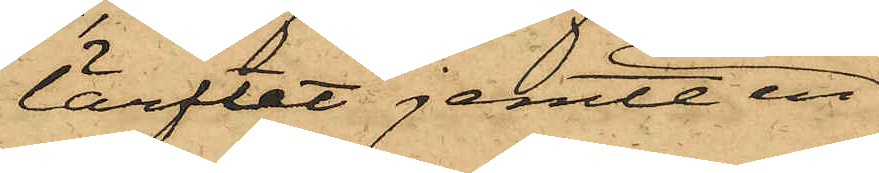lärftet jemte en
